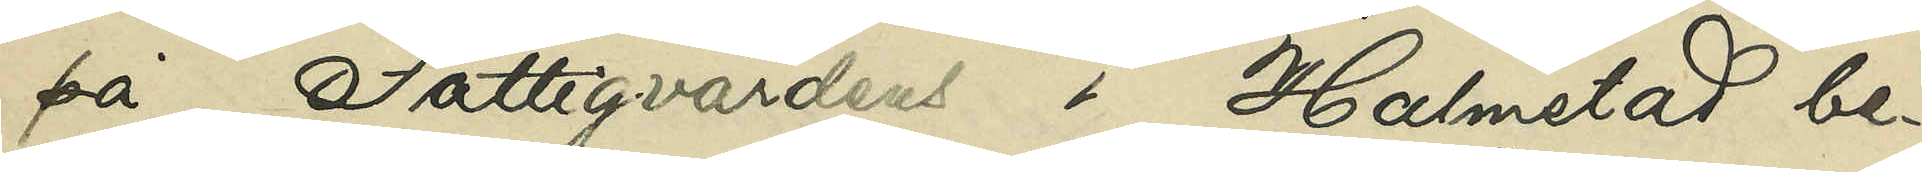på Fattigvårdens i Halmstad be¬
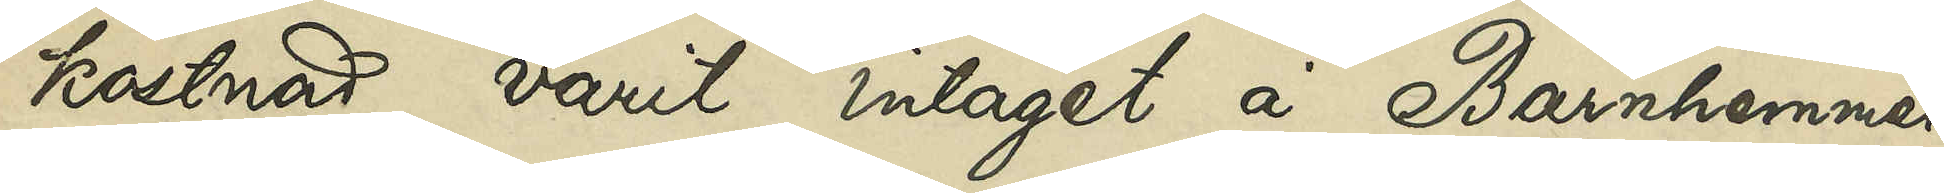kostnad varit intaget å Barnhemmet
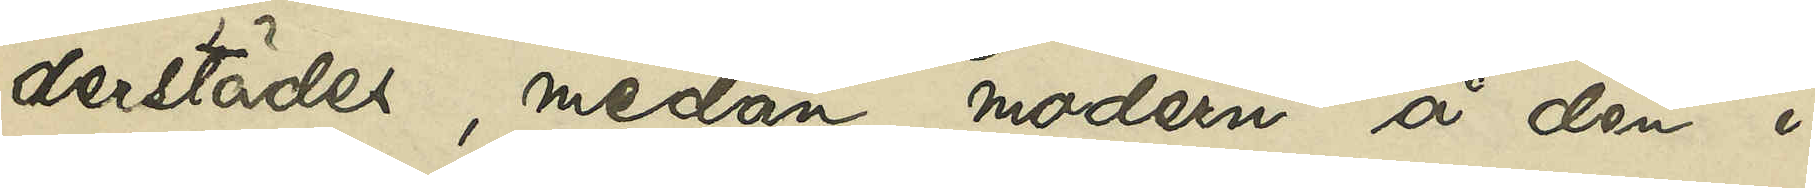derstädes, medan modern å den i
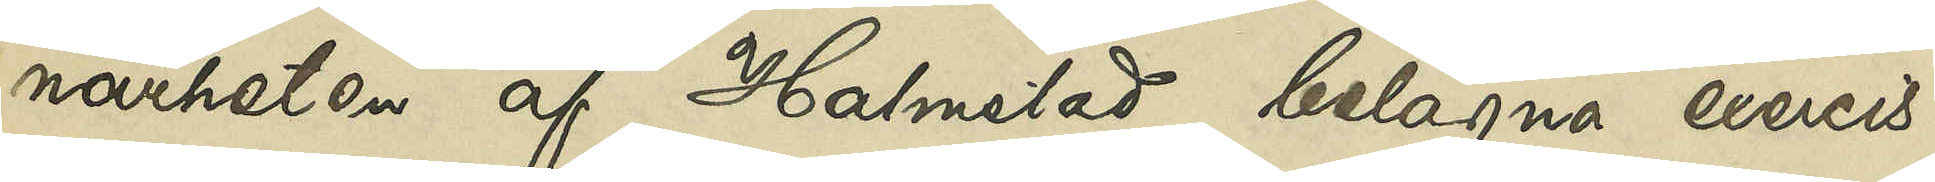närheten af Halmstad belägna exercis¬
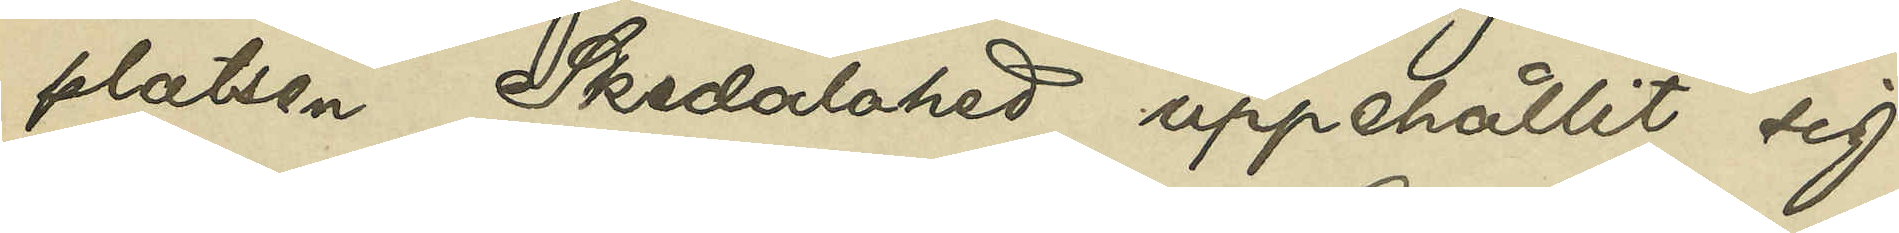platsen Skedalahed uppehållit sig
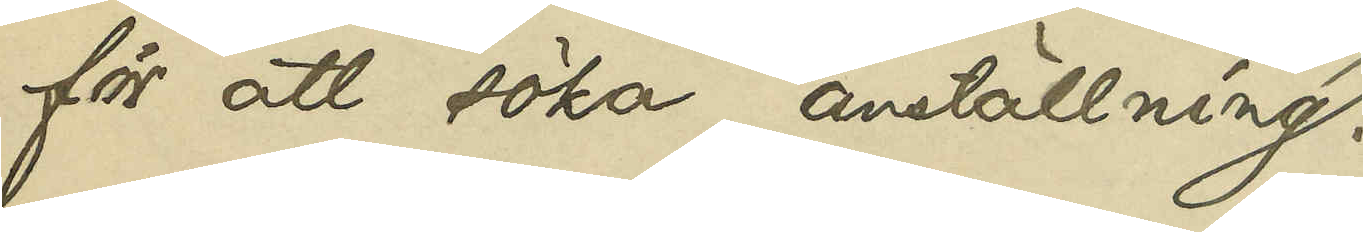för att söka anställning.
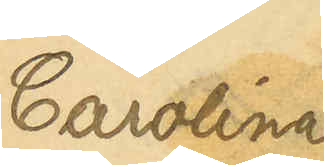Carolina
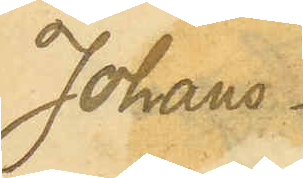Johans¬
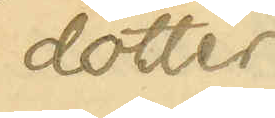dotter
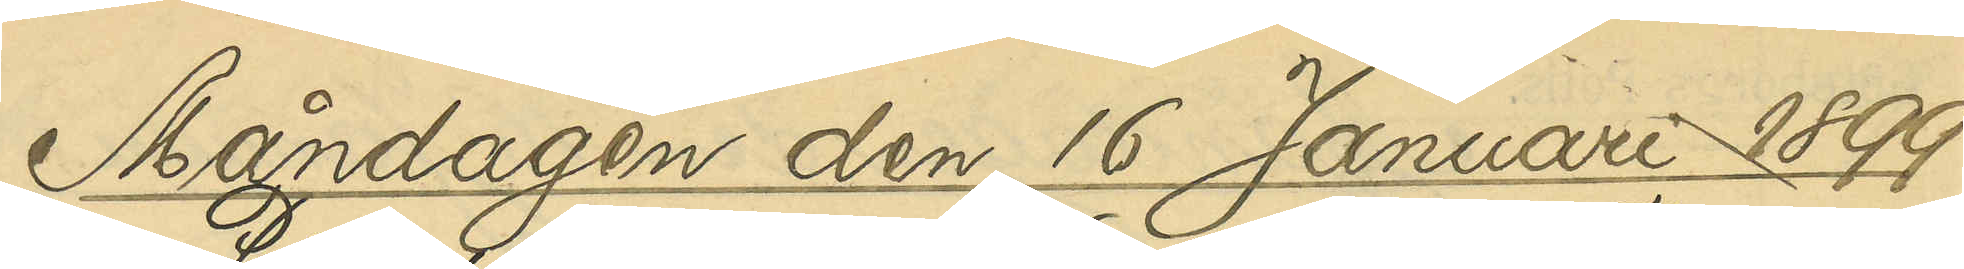Måndagen den 16 Januari 1899.
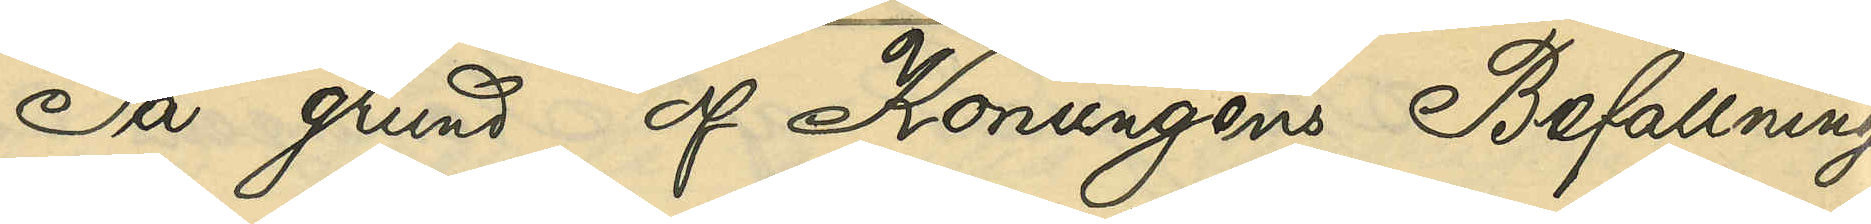På grund af Konungens Befallnings¬
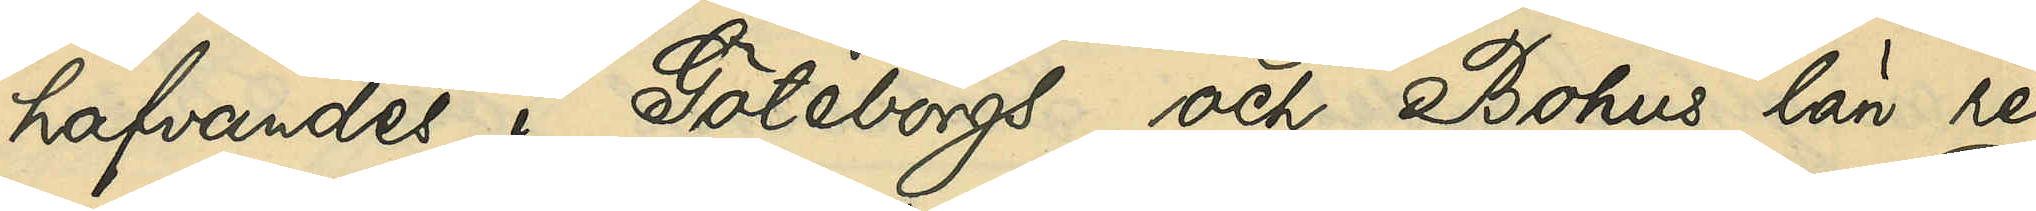hafvandes i Göteborgs och Bohus län re¬
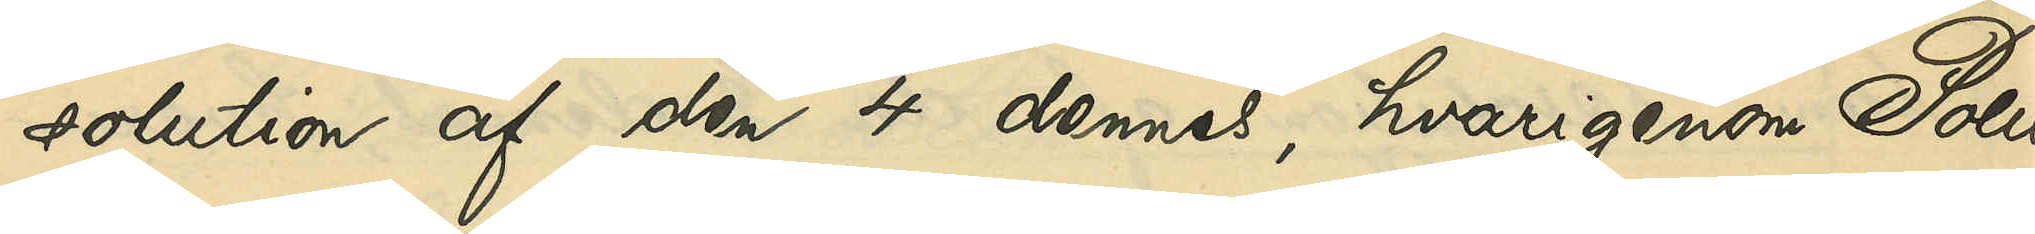solution af den 4 dennes, hvarigenom Polis¬
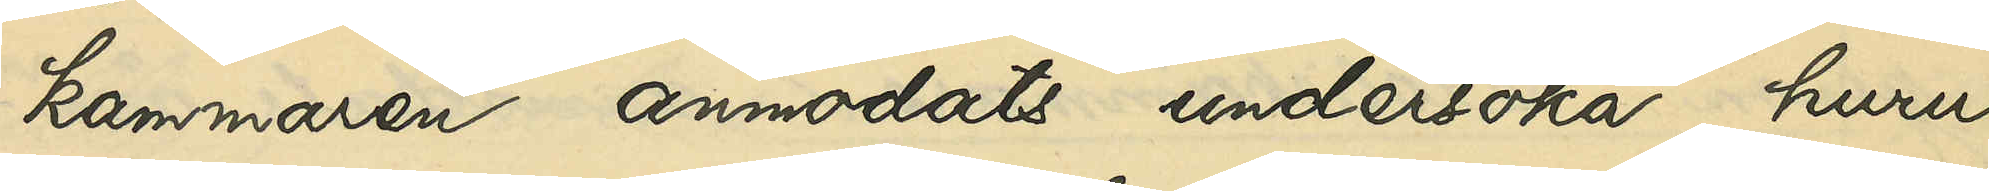kammaren anmodats undersöka, huru
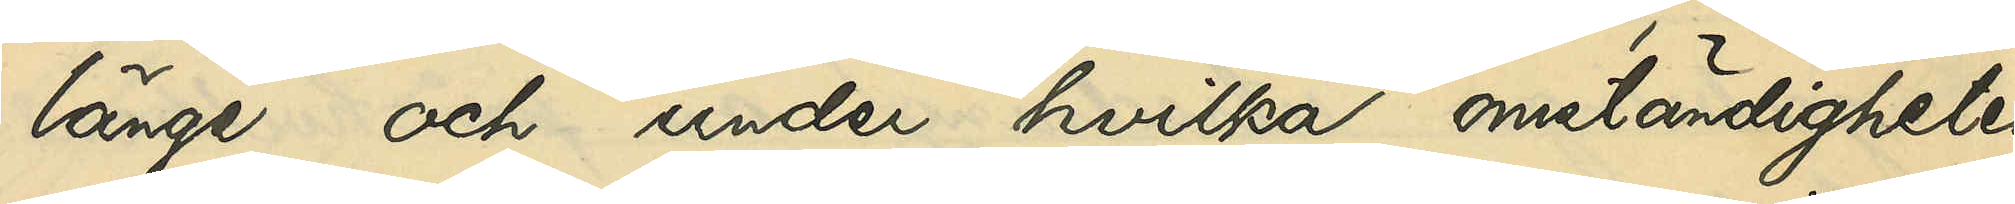länge och under hvilka omständigheter
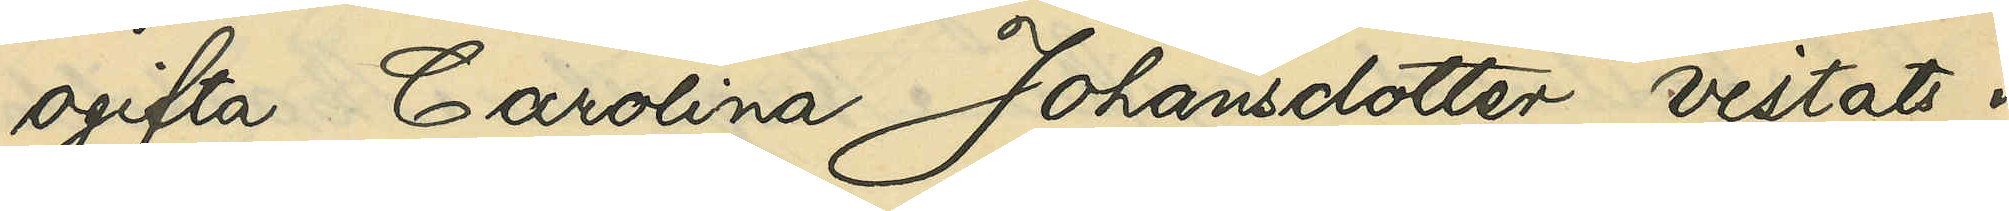ogifta Carolina Johansdotter vistats i
